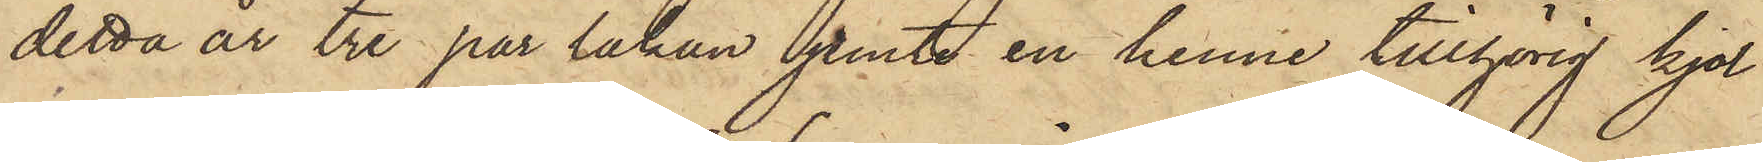detta år tre par lakan jemte en henne tillhörig kjol
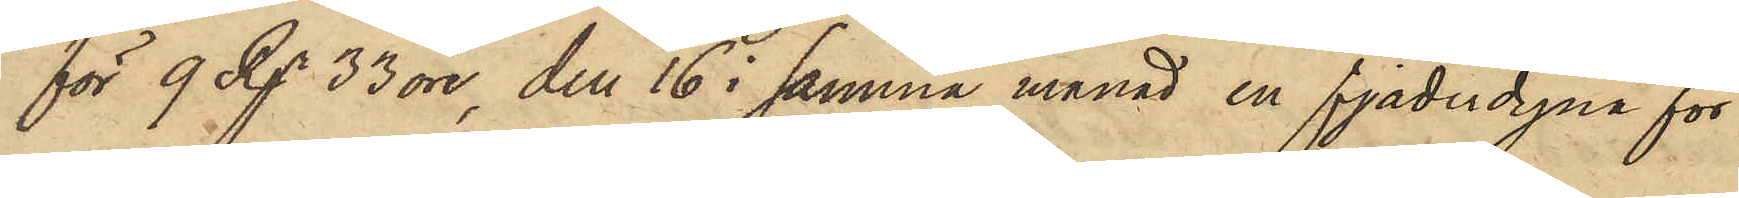för 9 Rgr 33 öre, den 16 i samma månad en fjäderdyna för
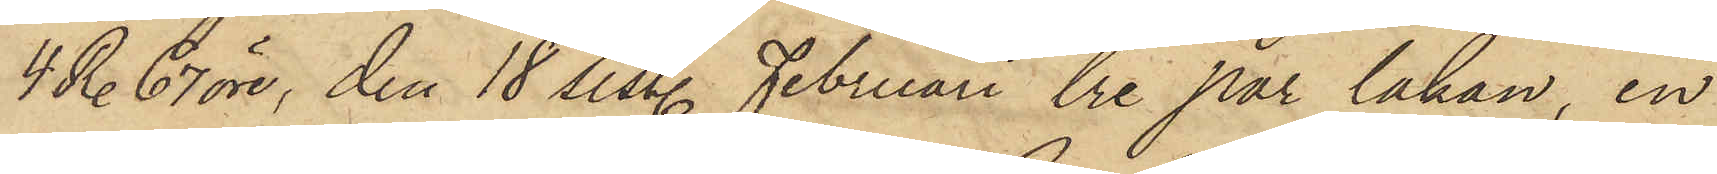4 R. 67 öre, den 18 sist. Februari tre par lakan, en
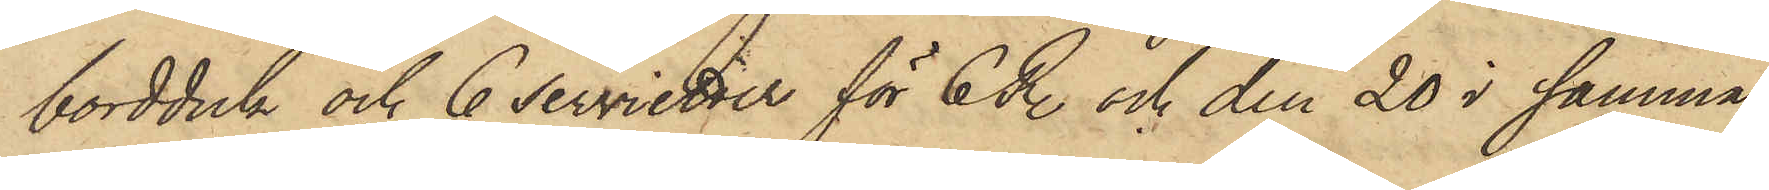bordduk och 6 servietter för 6 R. och den 20 i samma
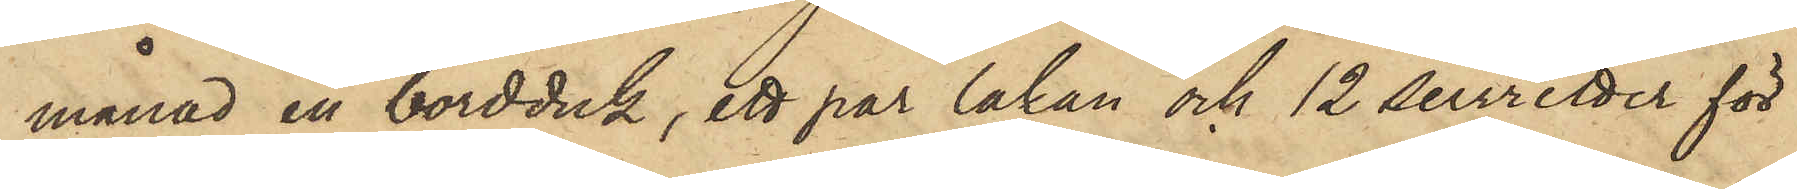månad en bordduk, ett par lakan och 12 servietter för
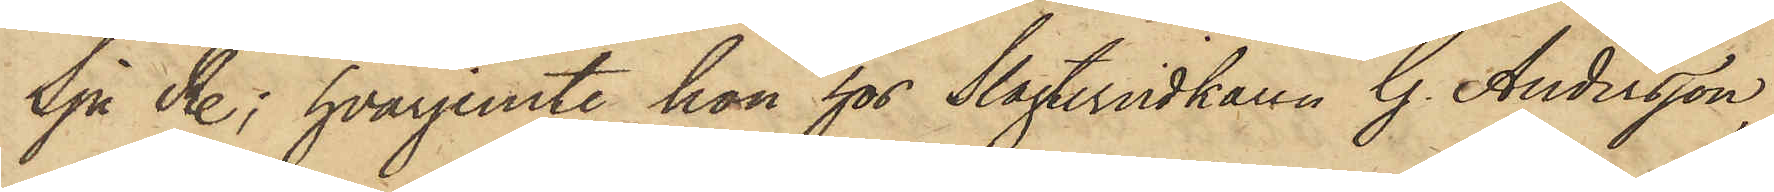Sju R.; hvarjemte hon hos Slagteriidkaren G. Andersson,
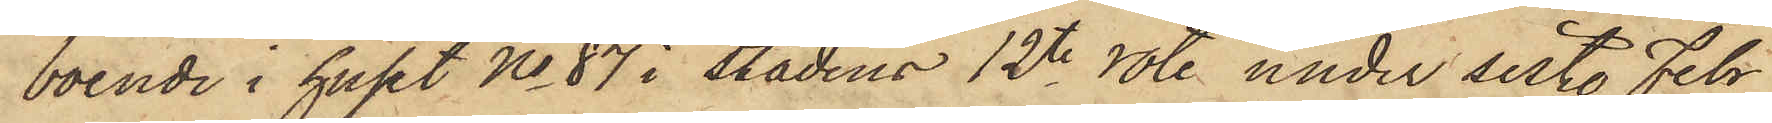boende i huset No 87 i Stadens 12te rote under sist. Febr
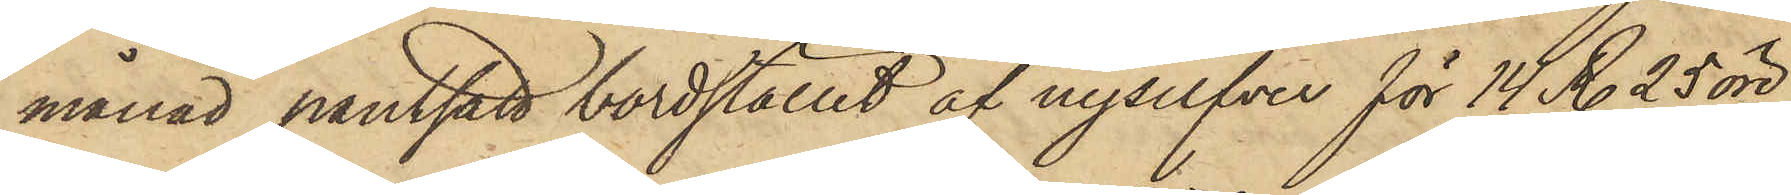månad pantsatt bordstället af nysilfver för 14 R. 25 öre,
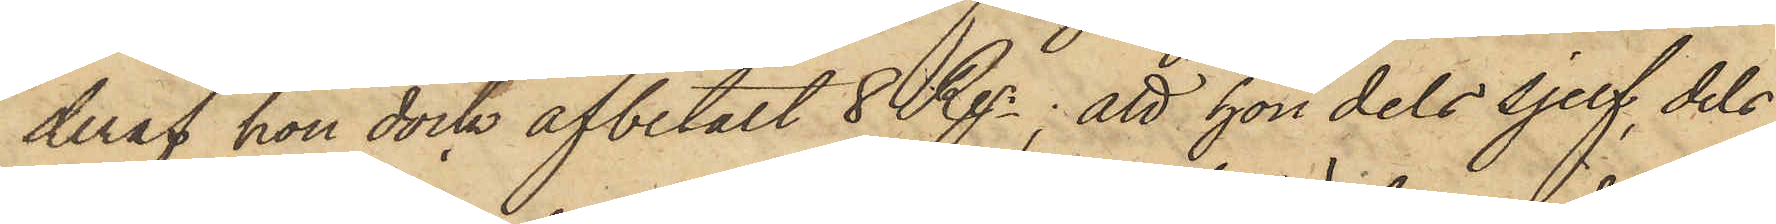deraf hon dock afbetalt 8 Rgr; att hon dels sjelf, dels
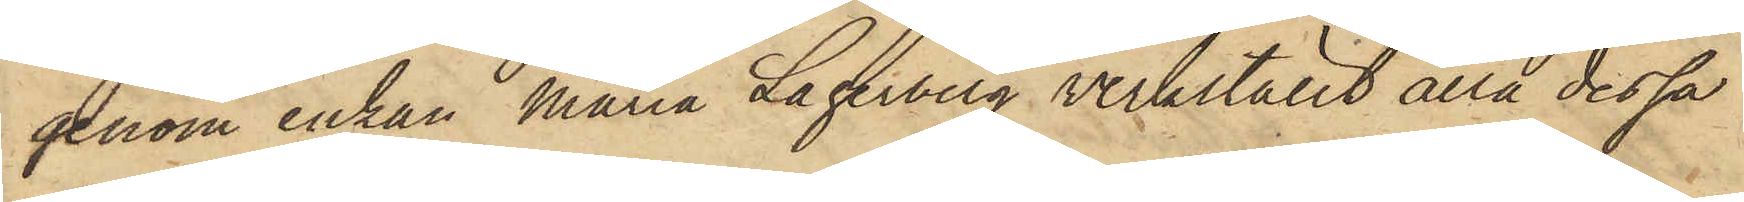genom enkan Maria Lagerberg verkställt alla dessa
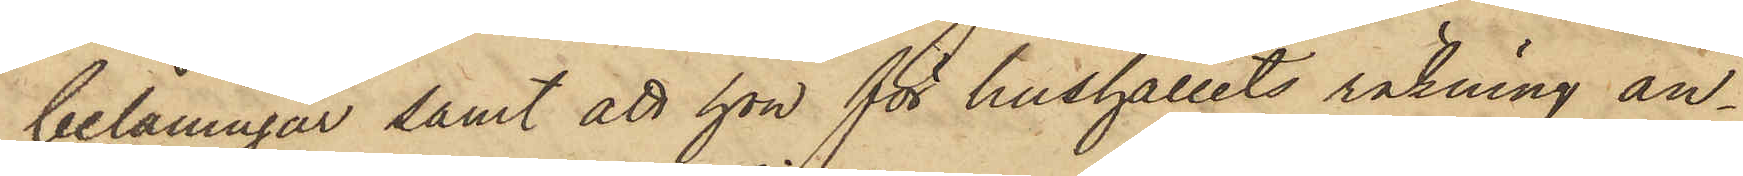belåningar samt att hon för hushållets räkning an¬
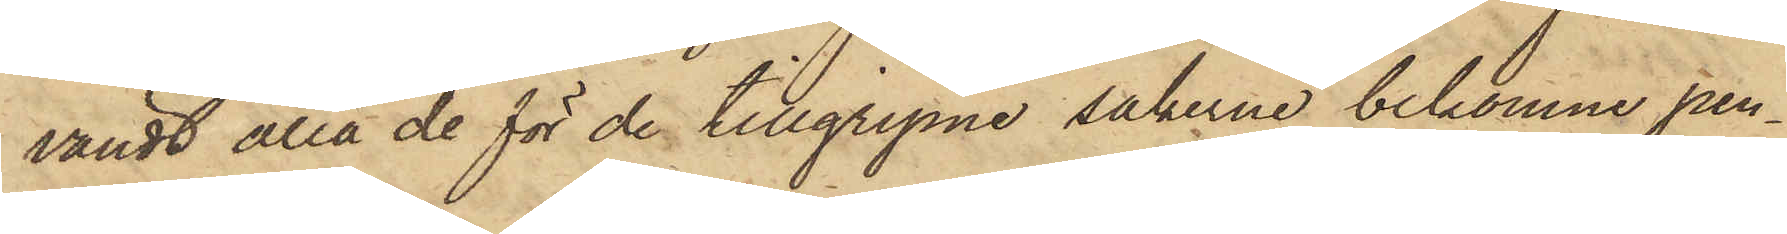vändt alla de för de tillgripne sakerne bekomne pen¬
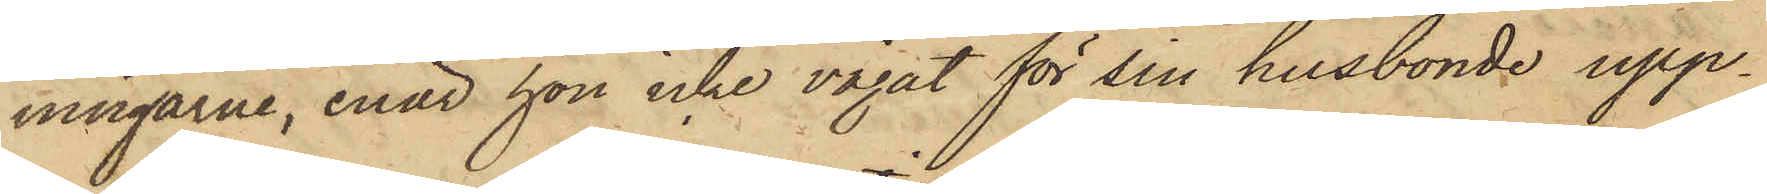ningarne, enär hon icke vågat för sin husbonde upp¬
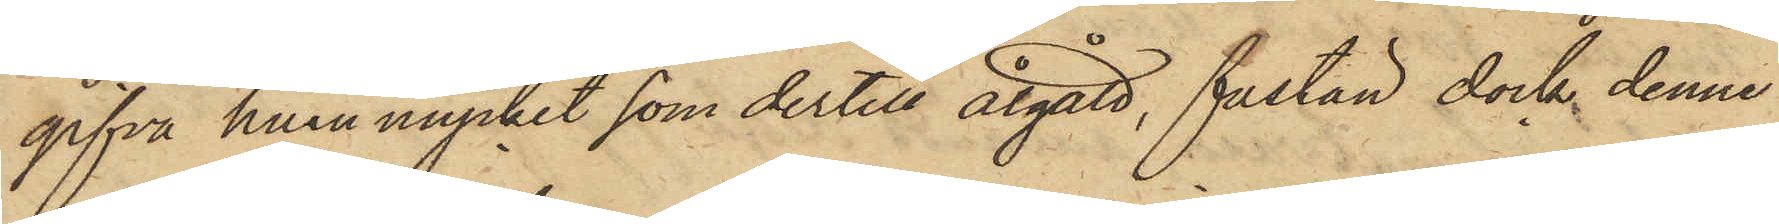gifva huru mycket som dertill åtgått, fastän dock denne
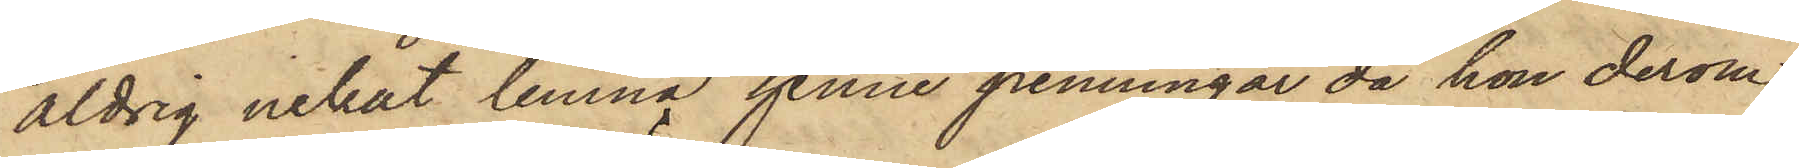aldrig nekat lemna henne penningar då hon derom
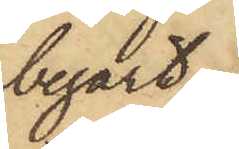begärt;
